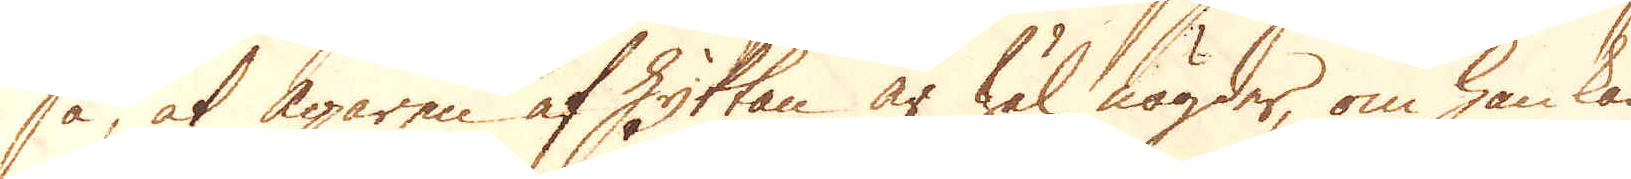så, at ägaren af Hyttan är wäl nögder, om han kan
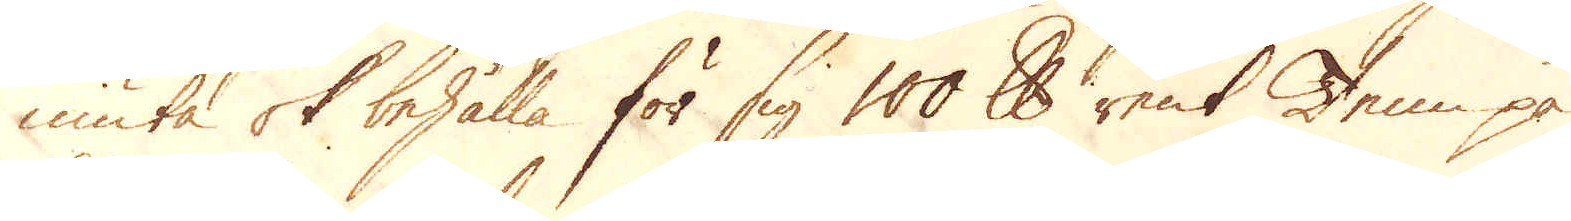niuta ok behålla för sig 100 skålpund rent Tenn på
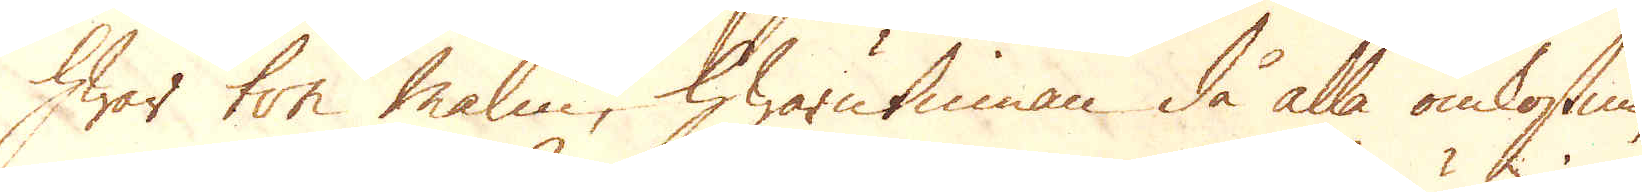hwar ton Malm, hwarutinnan då alla omkostnin-
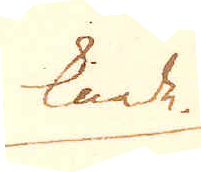knade.
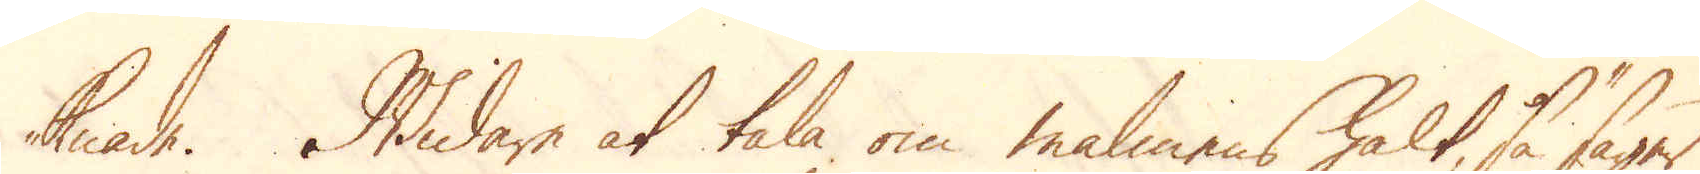knade. Widare at tala om malmens halt, så säger
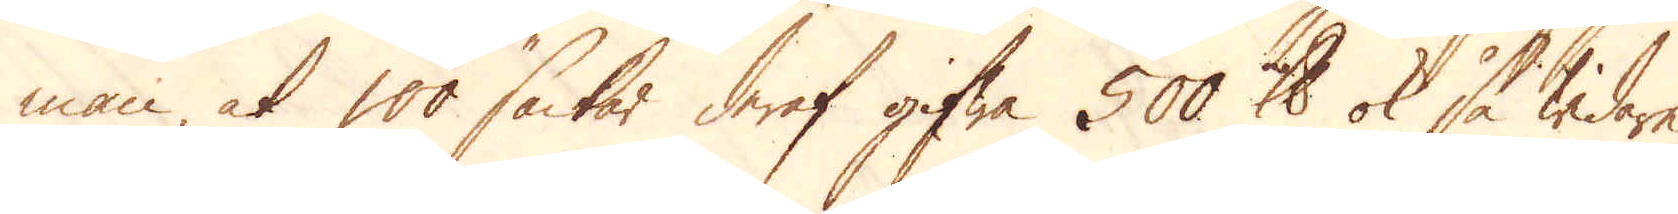man, at 100 säckar deraf gifwa 500 skålpund ok så widare
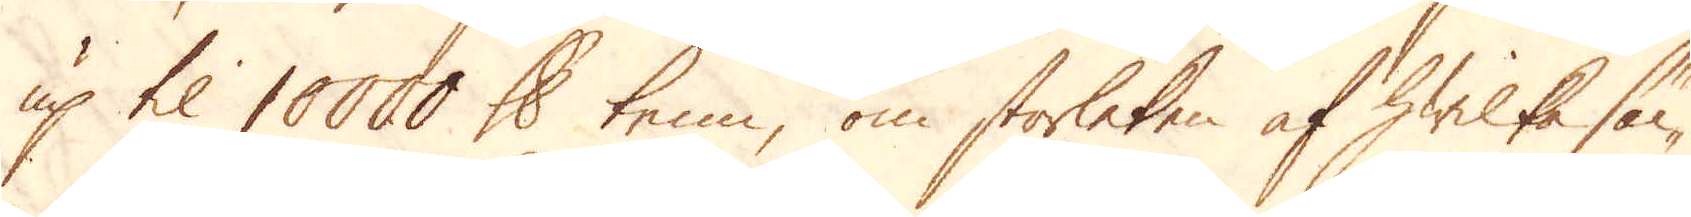up til 10000 skålpund tenn, om storleken af hwilka säc-
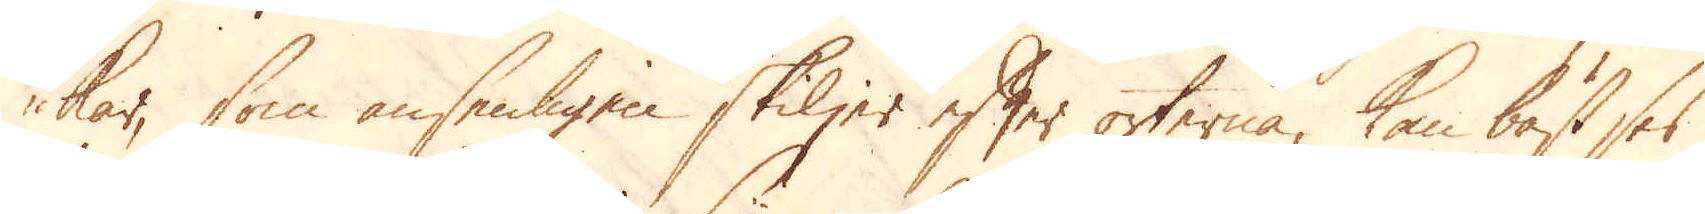kar, som ansenligen skiljer efter orterna, kan bäst ses,
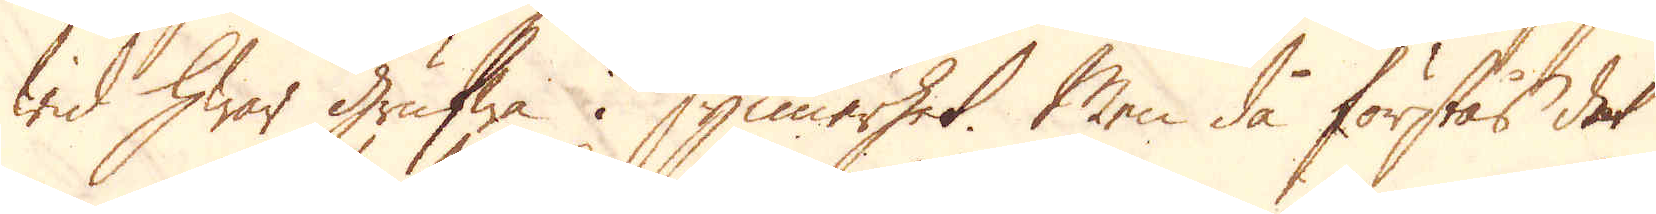wid hwar Grufwa i synnerhet. Men då förstås det
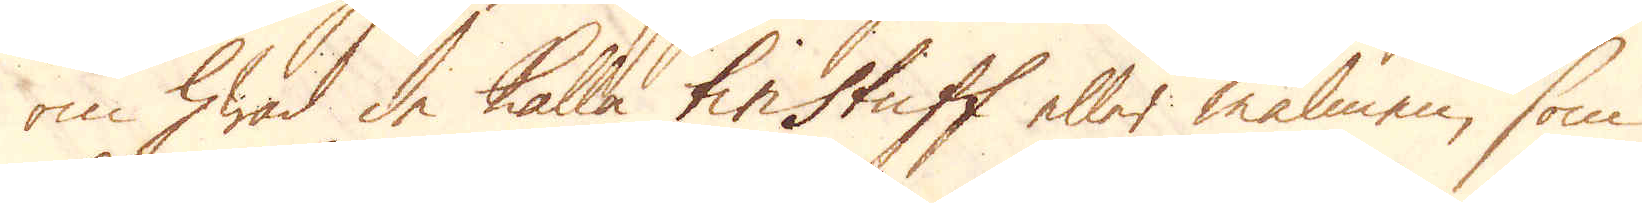om hwad de kalla tinstuff eller malmen, som
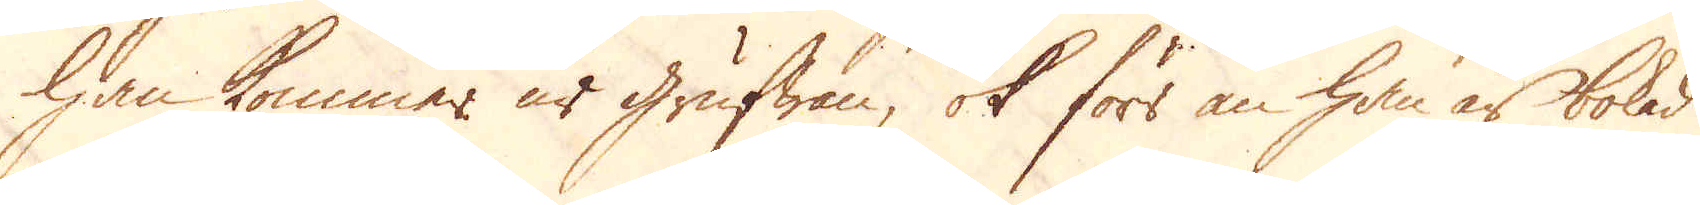han kommer ur Grufwan, ok förr än han är bokad
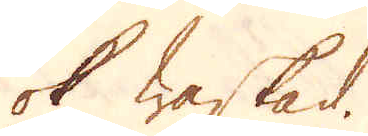ok waskad.
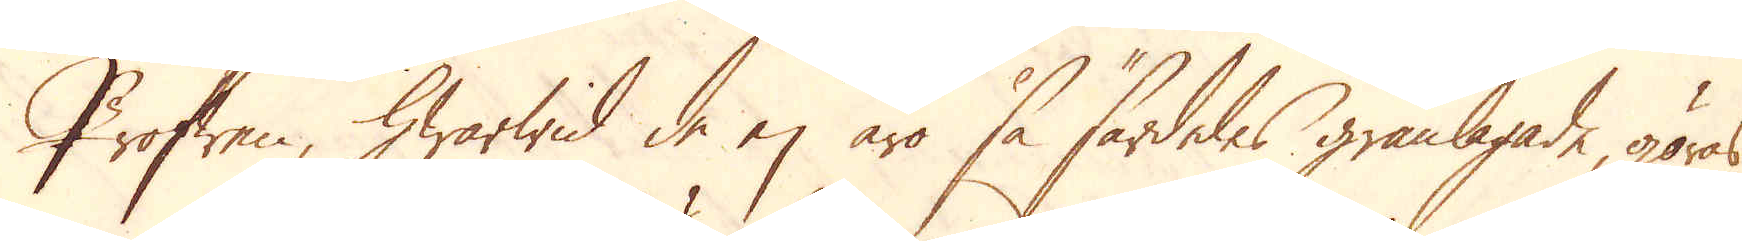Profwen, hwarwid de ej äro så särdeles granlagade, göras
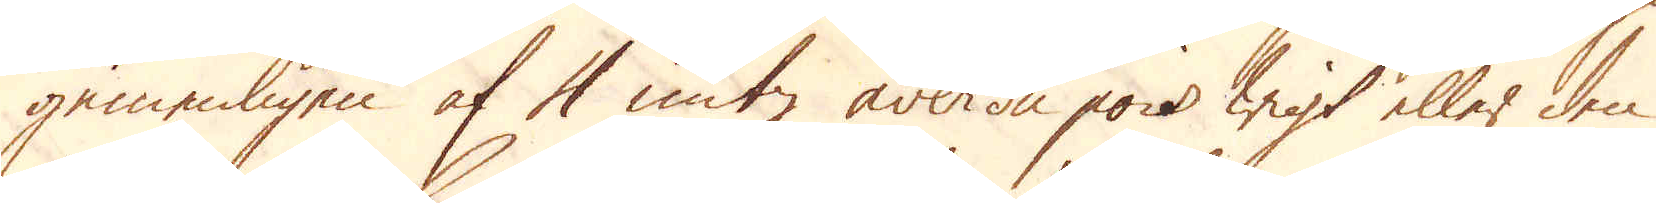gemenligen af 4 untz averdu pois wigt eller den
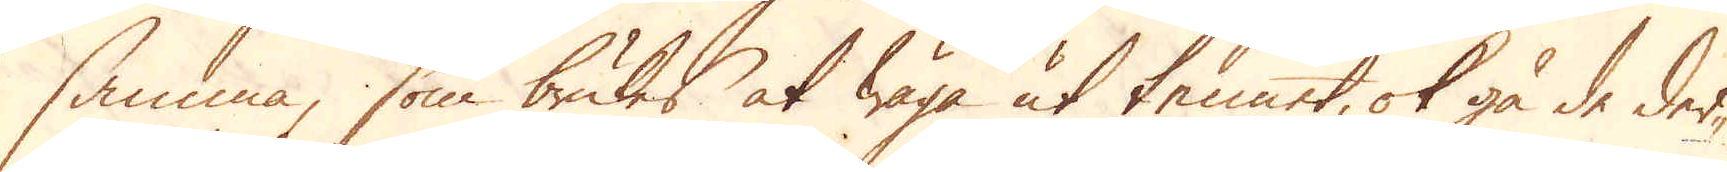samma, som brukes at wäga ut tennet, ok gå de der-
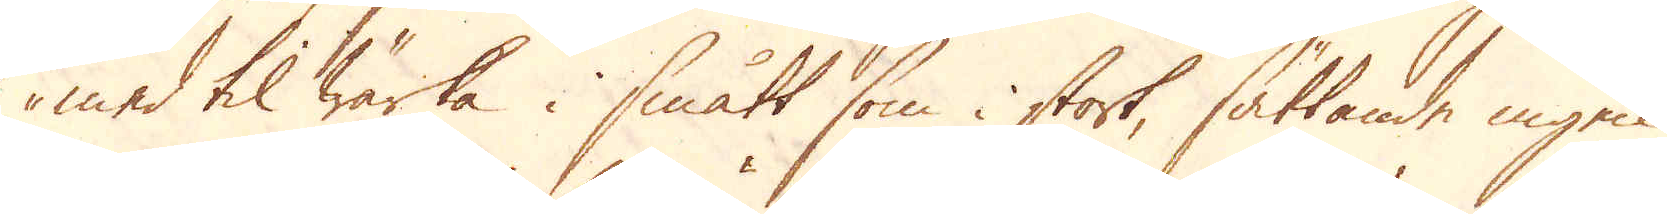med til wärka i smått som i stort, sättande ingen
